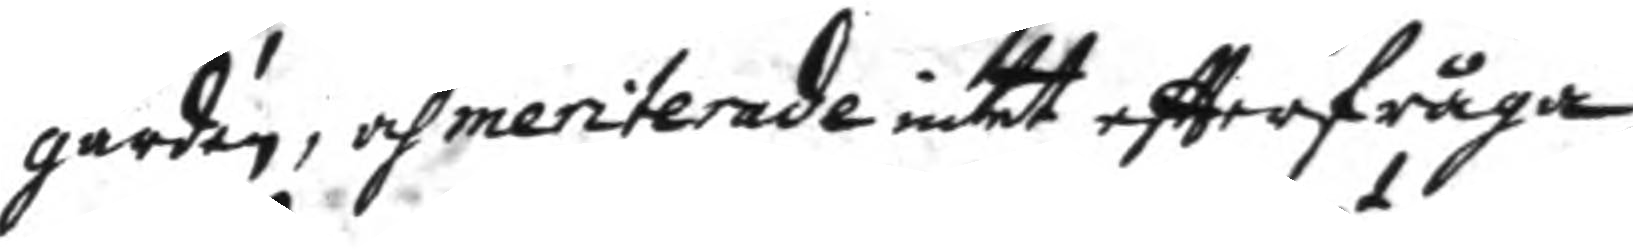gården, och meriterade intet eftterfråga,
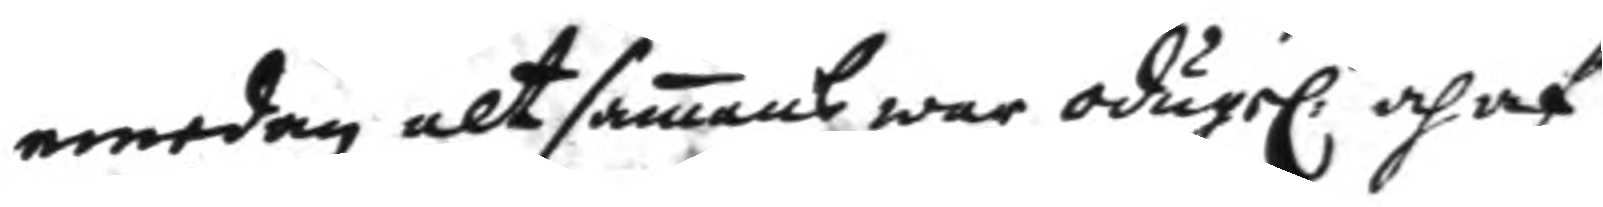emedan alt samans war odugel:t och af
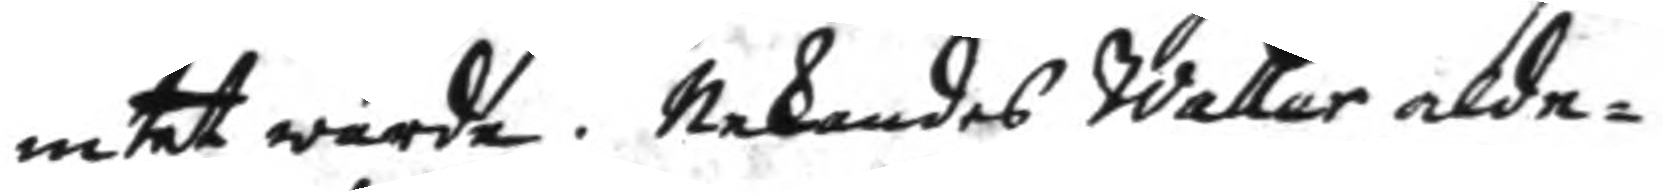intet wärde. Nekandes Waller alde¬
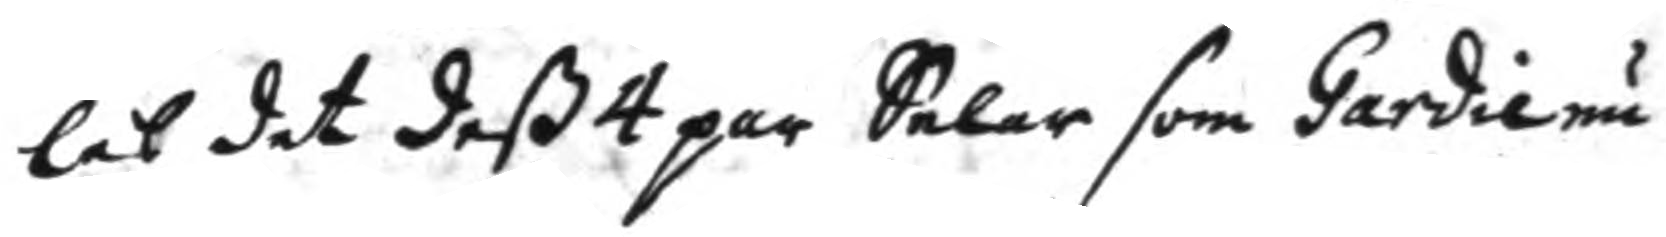les det deß 4 par Selar som Gardie nu
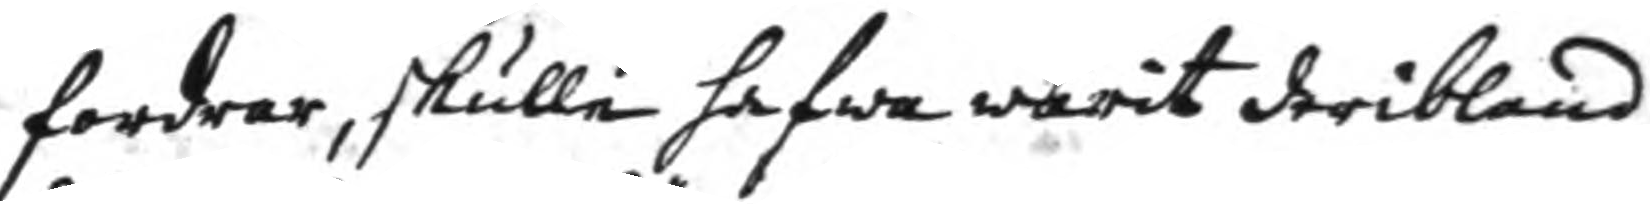fordrar, skulle hafwa warit deriblad,
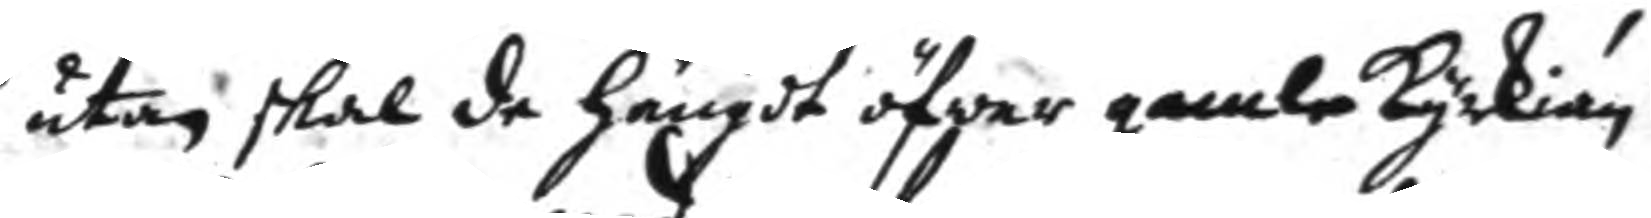utan skal de hängdt öfwer gamla kyrkian
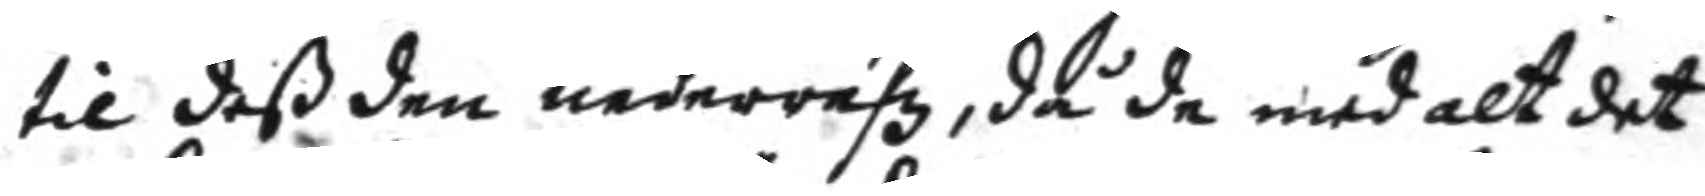til deß den nederrefz, då de med alt det
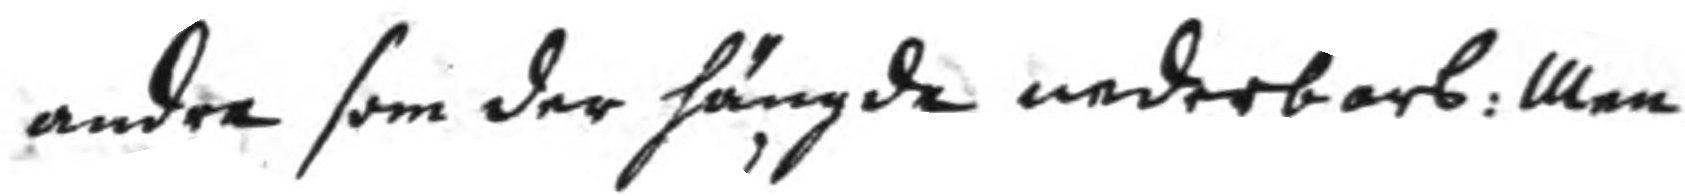andra som der hängde nederbars: Men
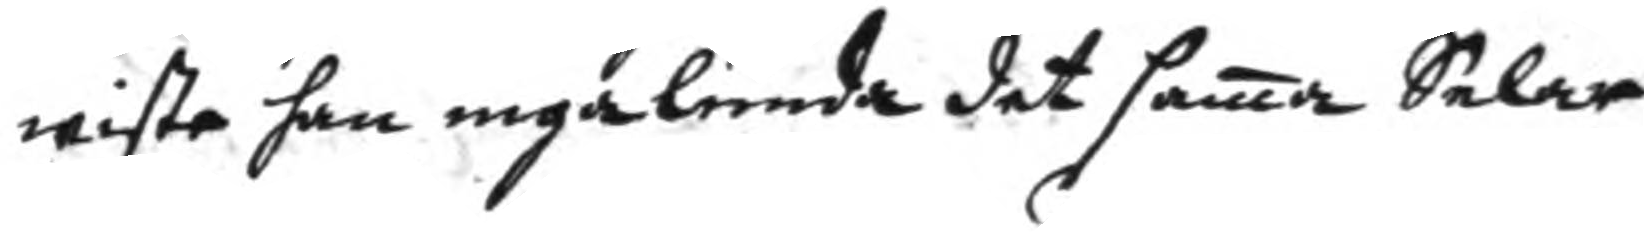wiste han ingalunda det sama Selar
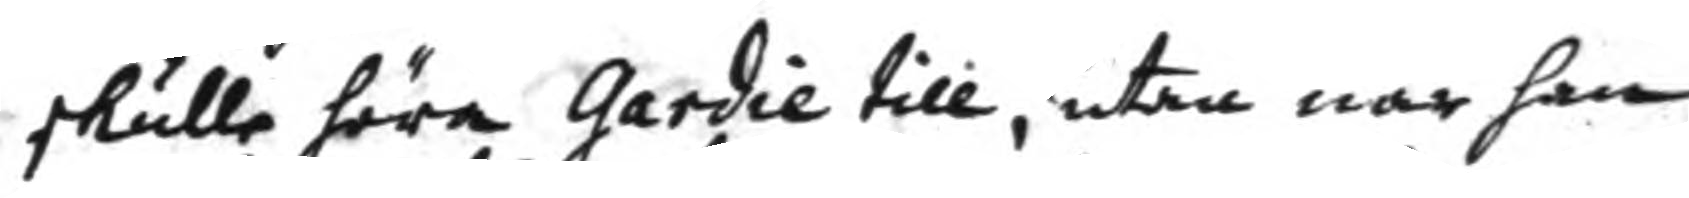skulle höra Gardie till, utan när han
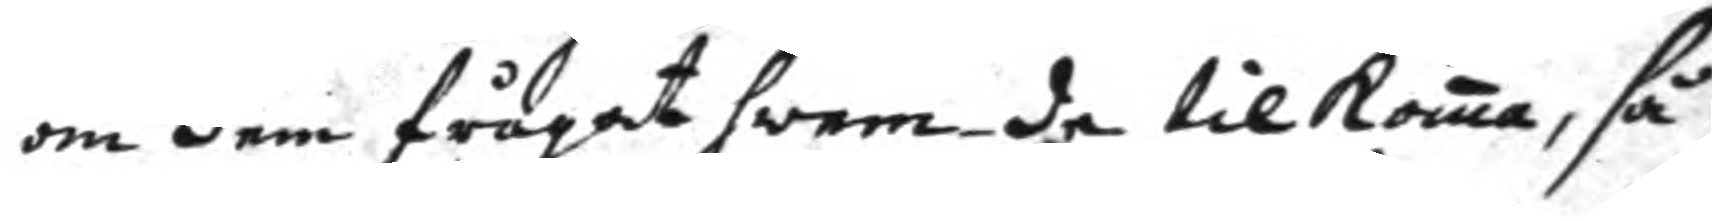om dem frågat hwem de tilkoma, så
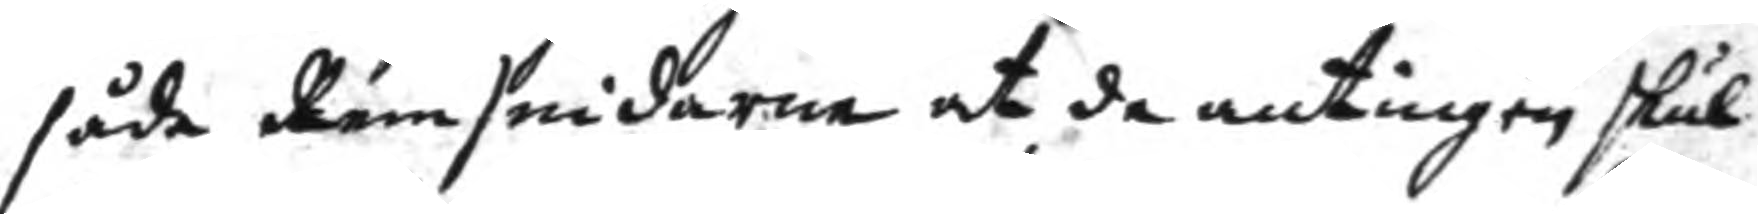såde Remsnidaren at de antingen skul¬
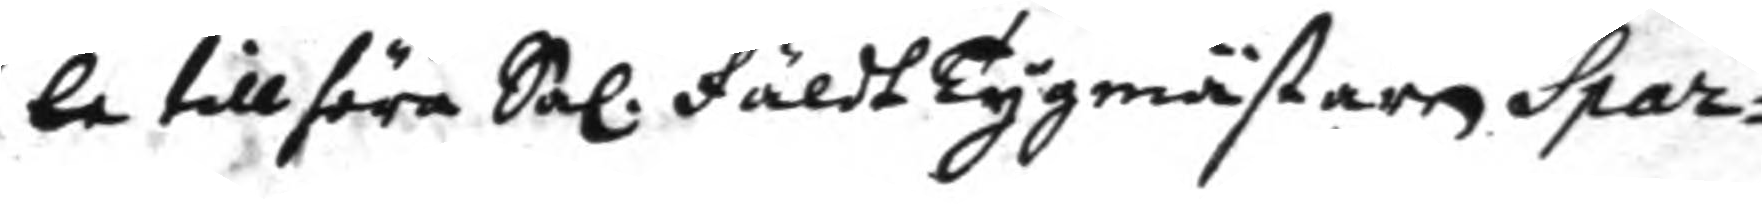le tillhöra Sal. FäldtTygmästaren Spar¬
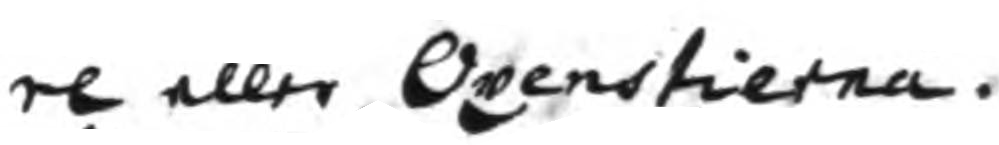re eller Oxenstierna.
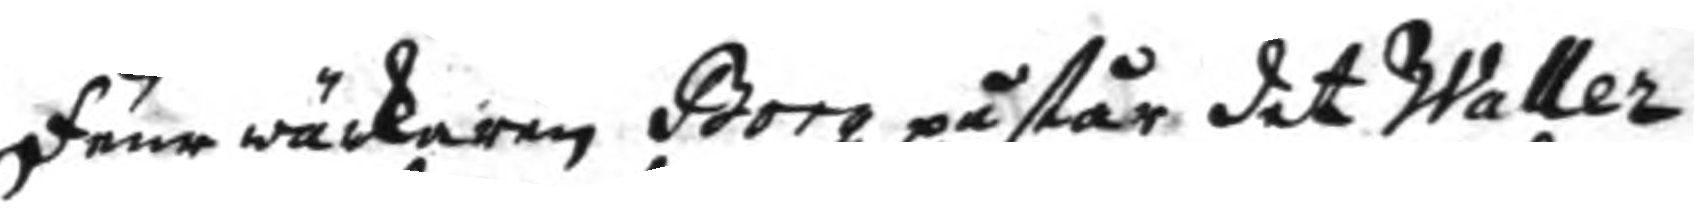Feur wärkaren Borg påstår det Waller
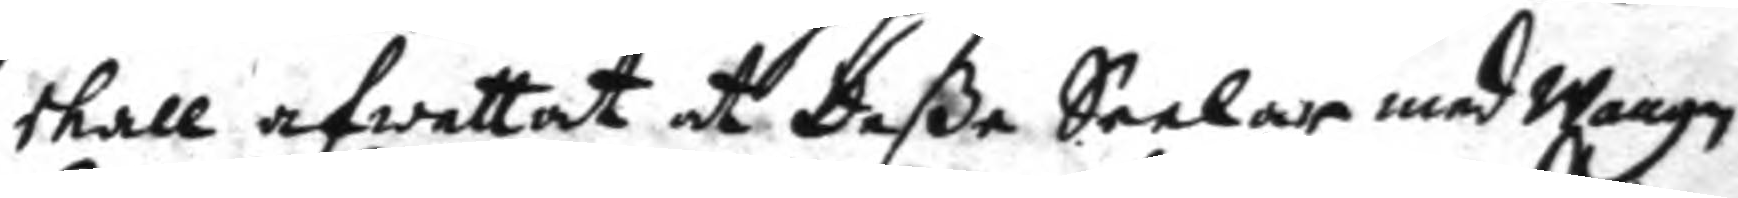skall afwettat at deße Seelar med wagn
